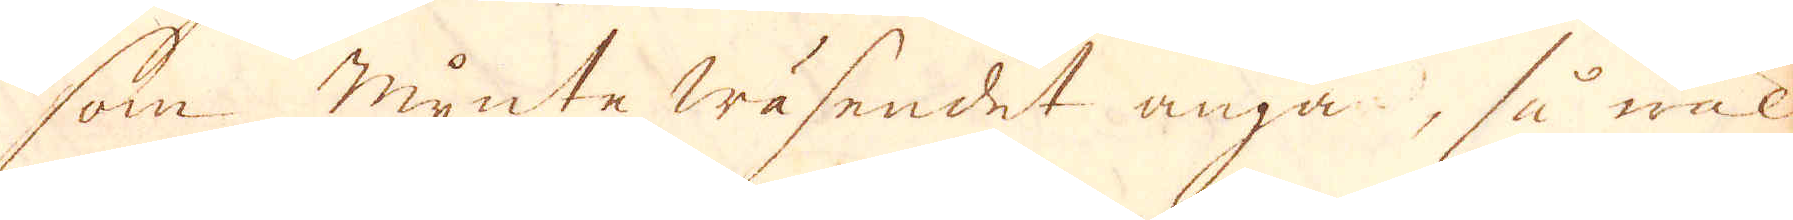som mynte wäsendet angå, så wäl
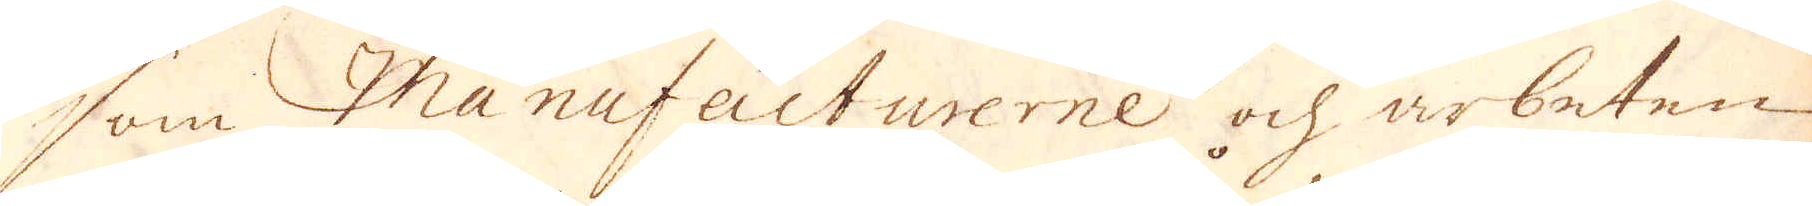som Manufacturerne och arbeten
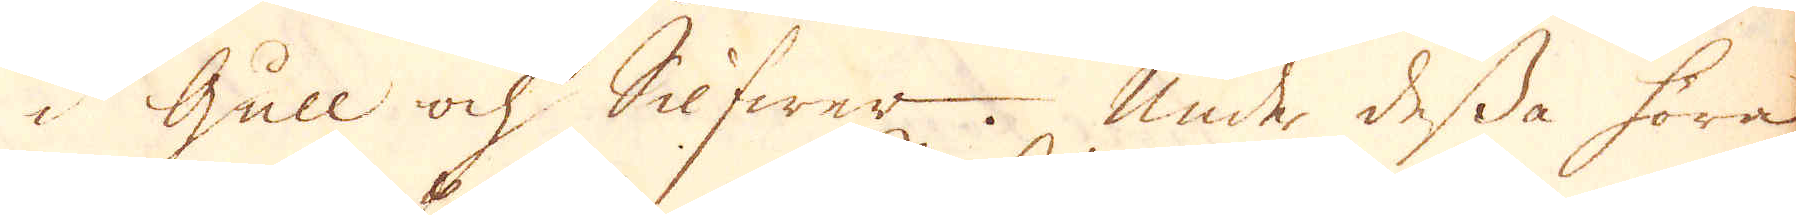i Gull ock Silfwer. Under dessa höra
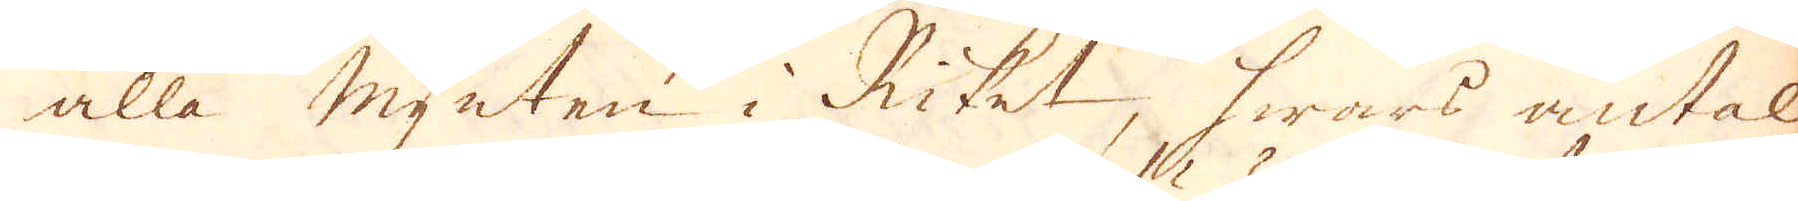alla mynten i Riket, hwars antal
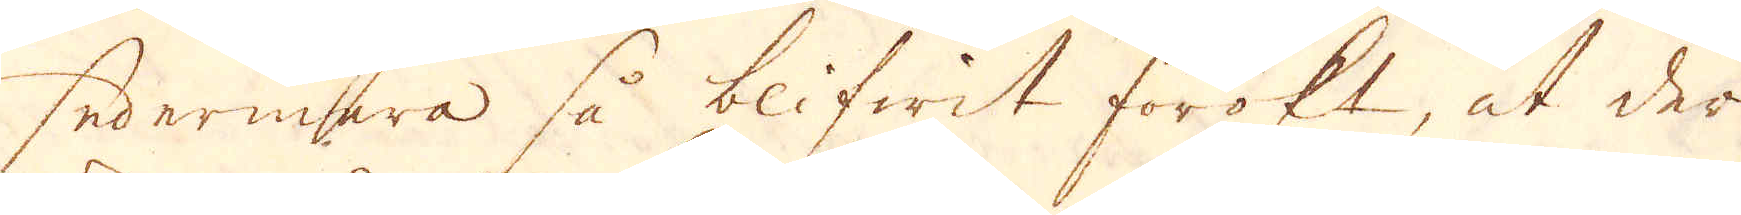sedermera så blifwit förökt, at der
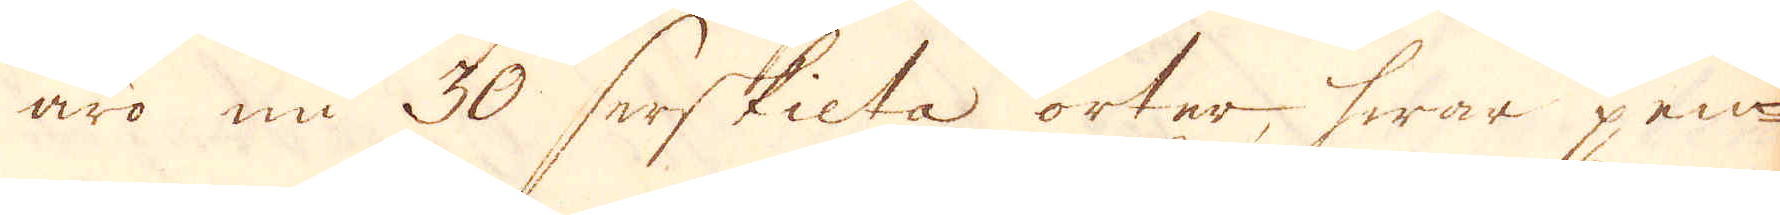äro nu 30 serskilta orter, hwar pen-
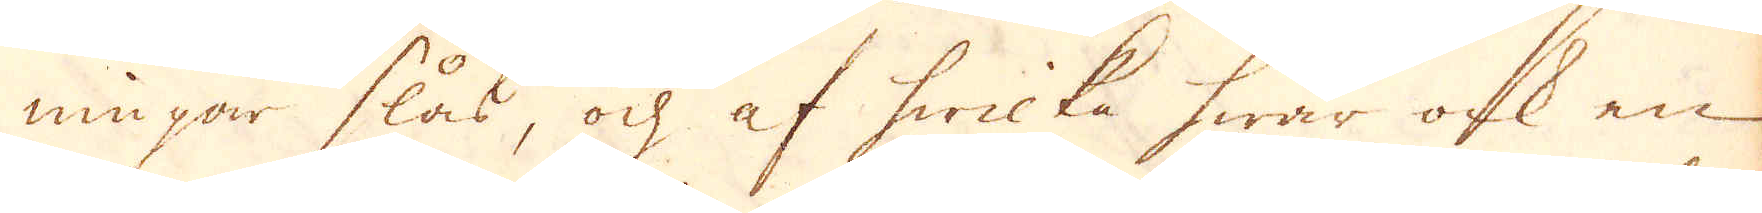ningar slås, ock af hwilka hwar ock en
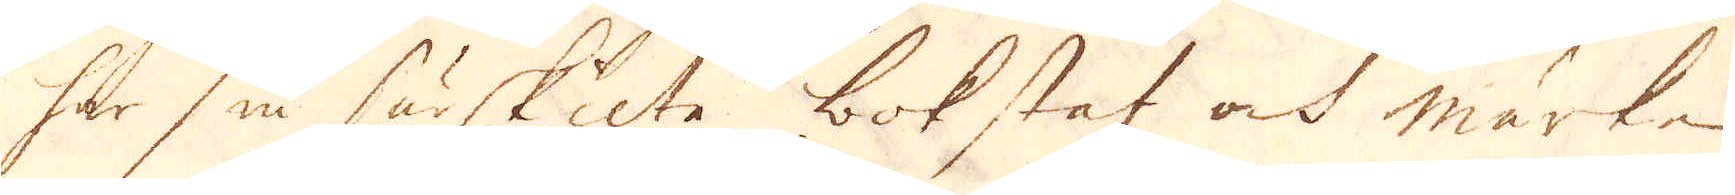har sin särskilte bokstaf ock märke
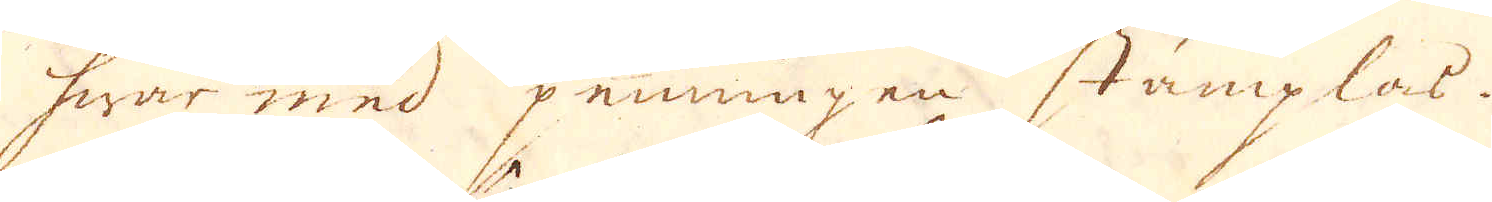hwar med penningen stämplas.
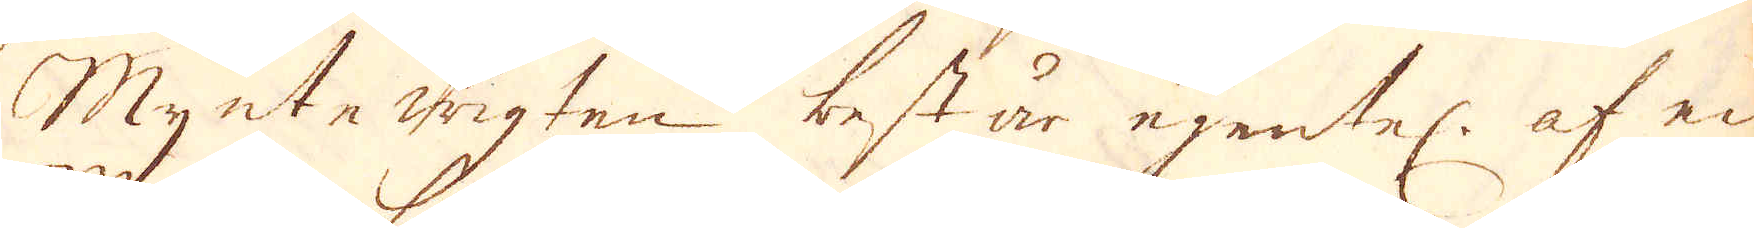Mynte wigten består egentel: af en
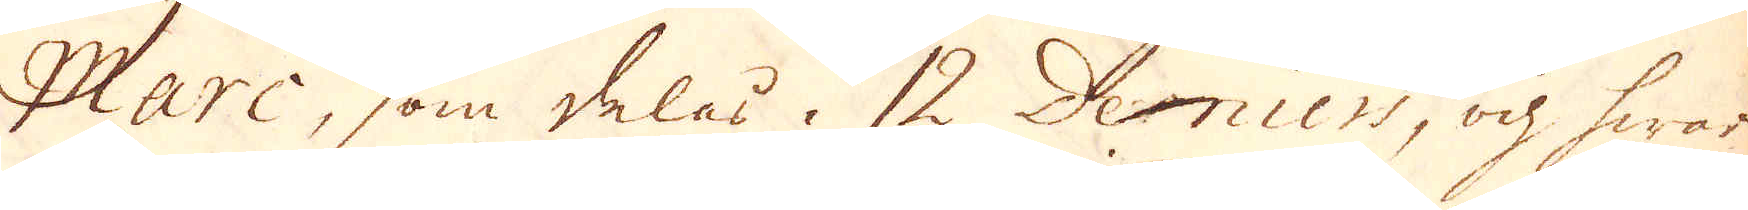Marc, som delas i 12 Deniers, ok hwar
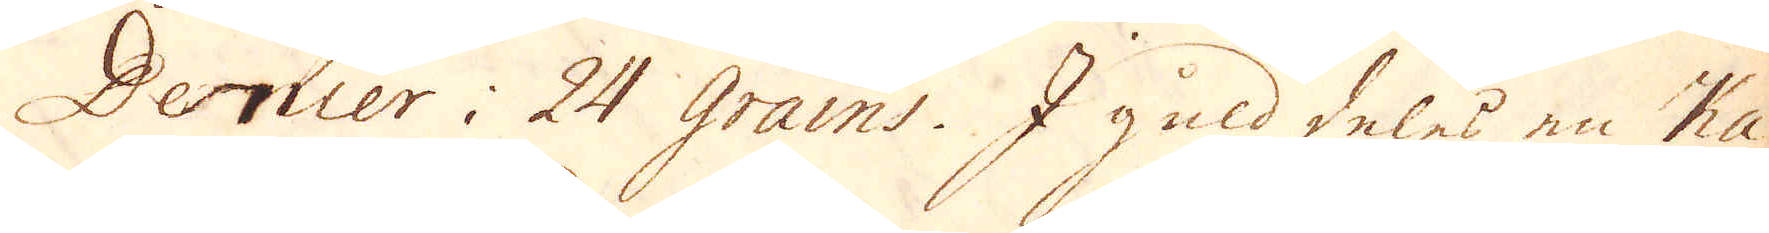Dernier i 24 Grains. I guld deles en Ka-
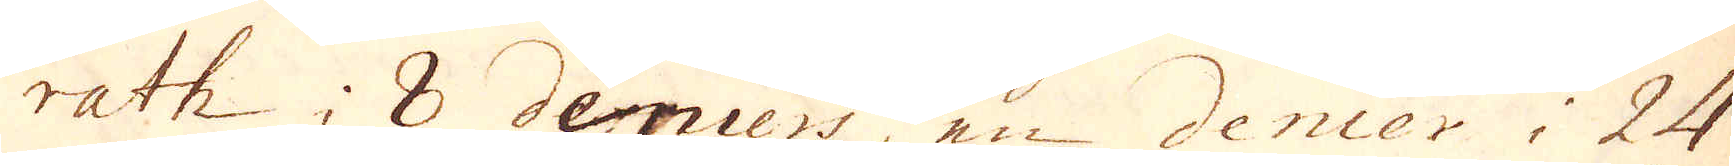rath 8 deriers, en denier i 24
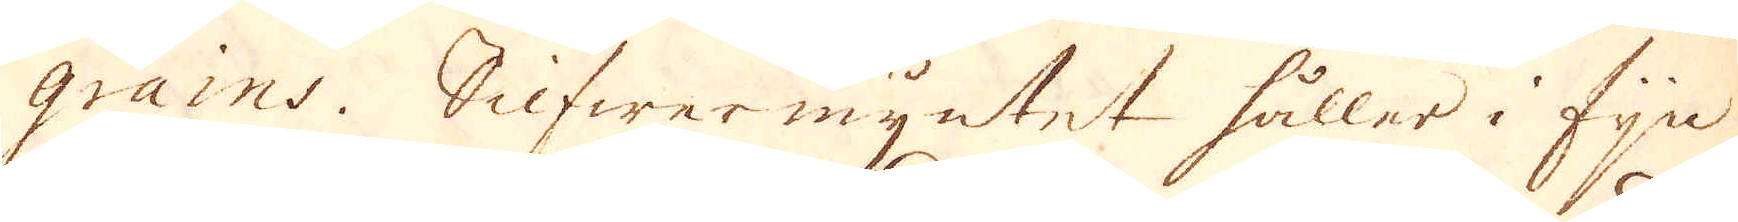grains. Silfwer myntet håller i fijn-
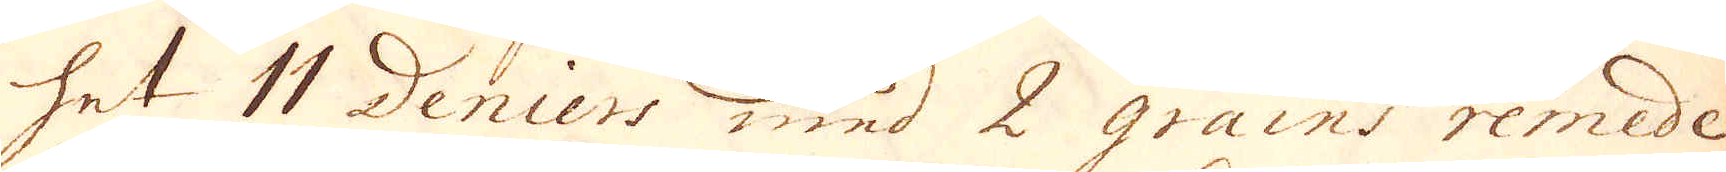het 11 Denicers med 2 grains remede.
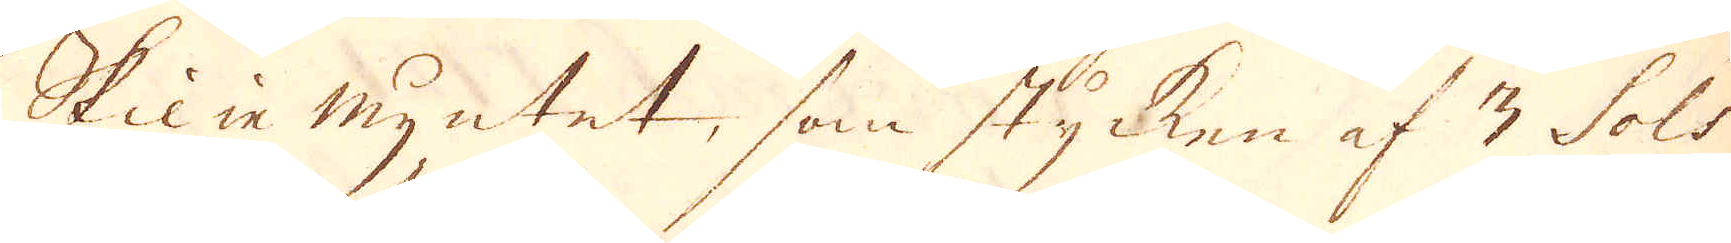Skilje myntet, som stycken af 3 Sols
